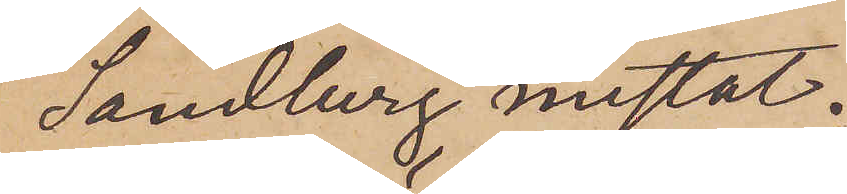Sandberg mistat.
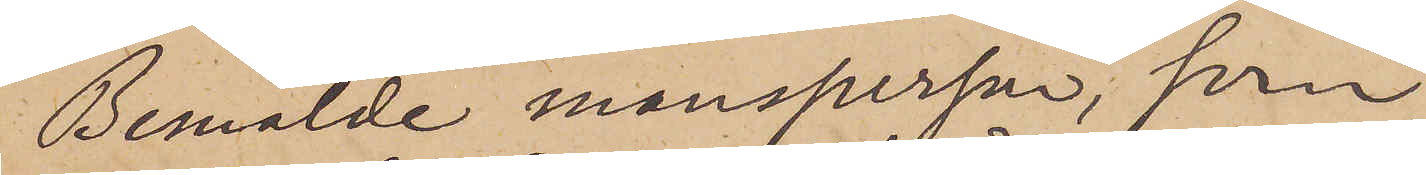Bemälde mansperson, från
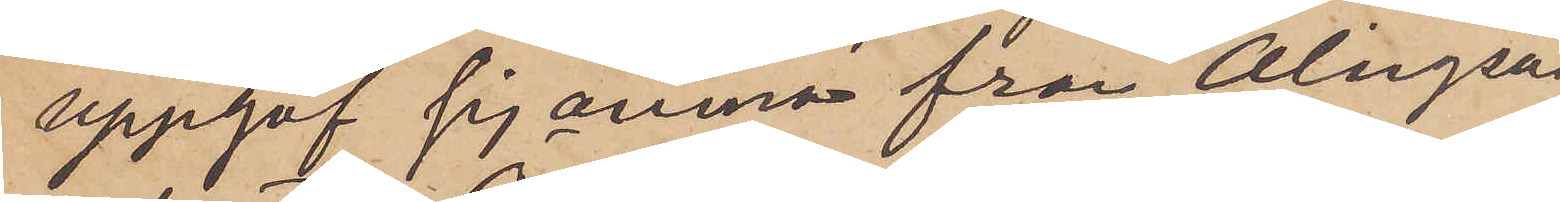uppgaf sig ämna från Alingsås
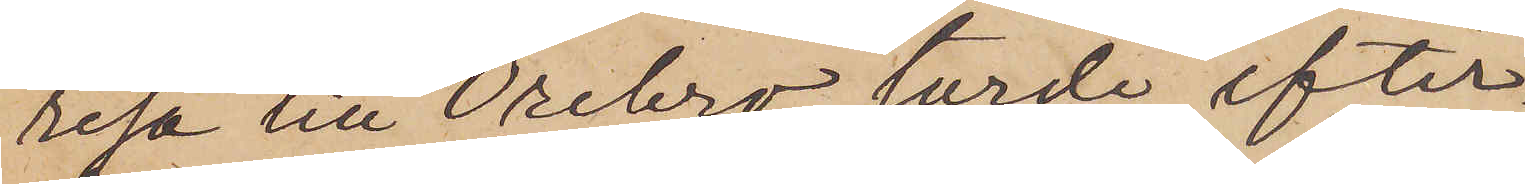resa till Örebro, torde efter¬
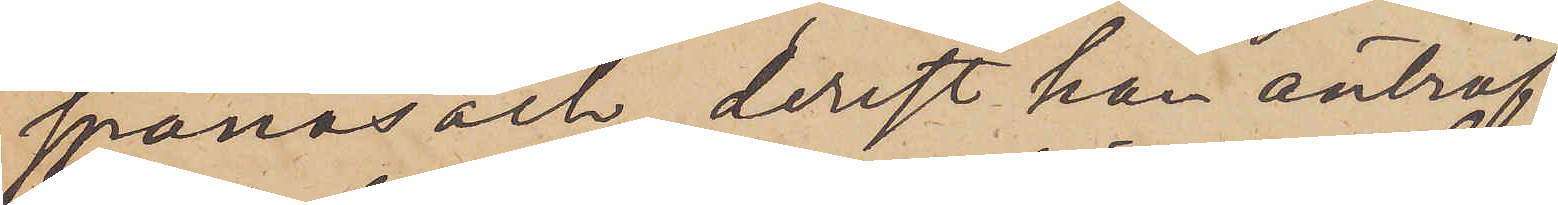spanas och, derest han anträf¬
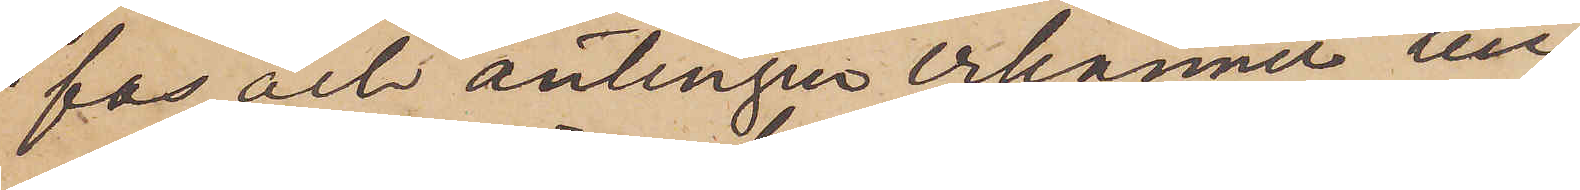fas och antingen erkänna till¬
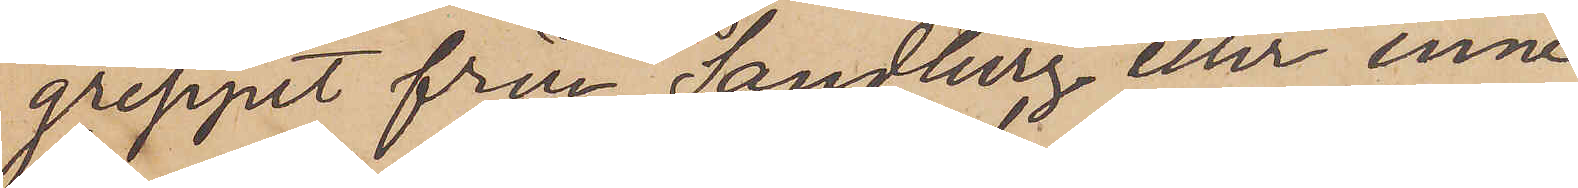greppet från Sandberg eller inne¬
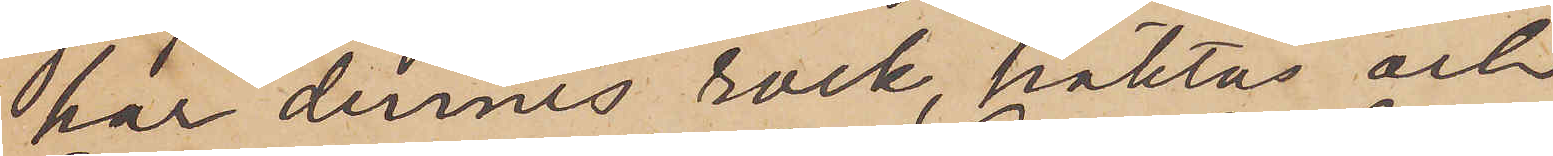har dennes rock, häktas och
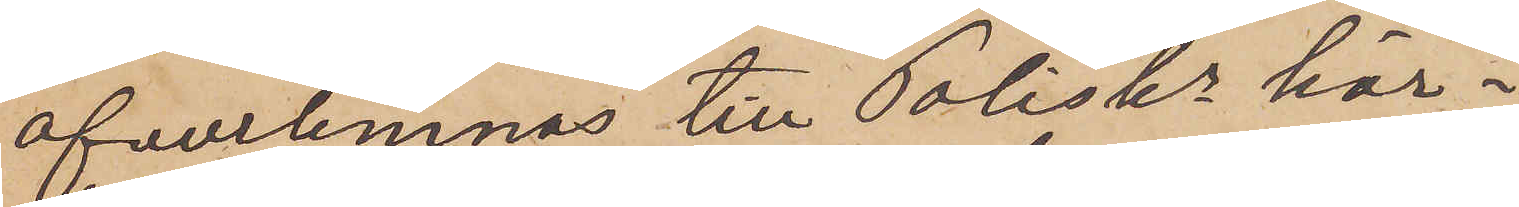öfverlemnas till Poliskn här i
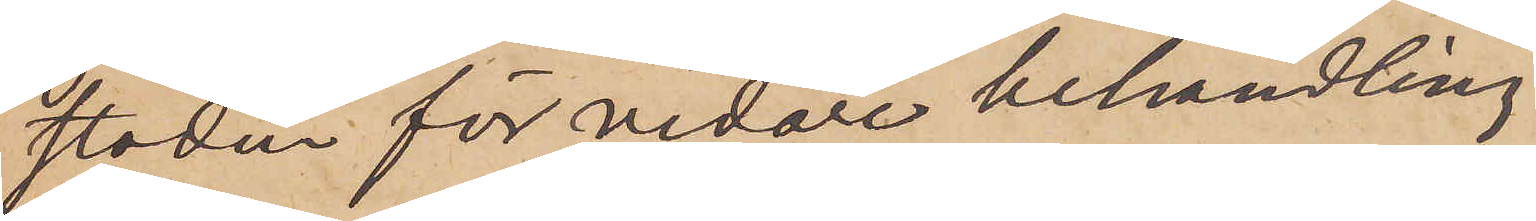staden för vidare behandling.
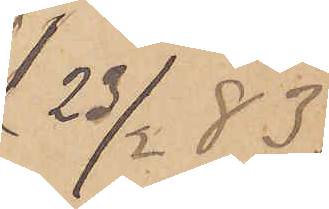23/2 83.
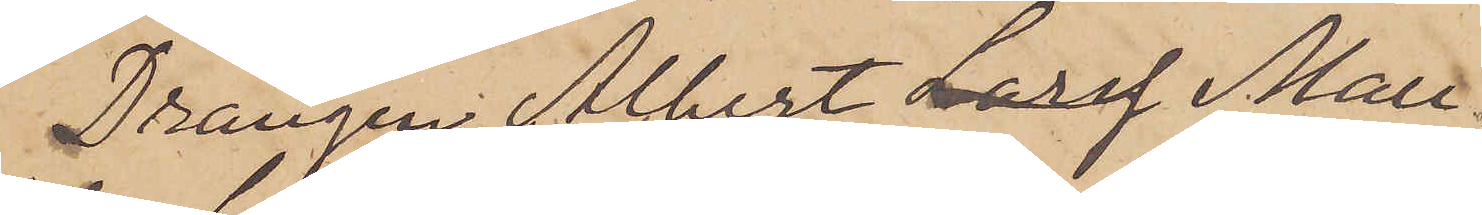Drängen Albert Larss Mau¬
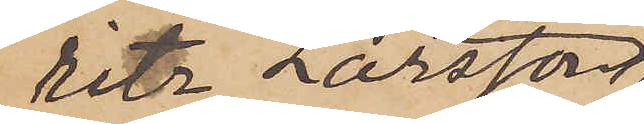ritz Larsson
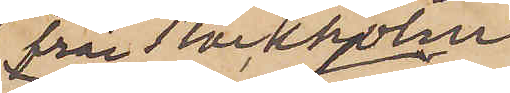från Stockholm
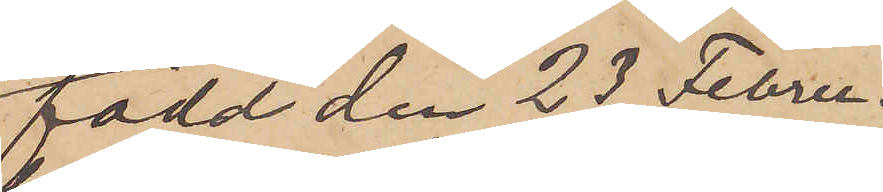född den 23 Febru¬
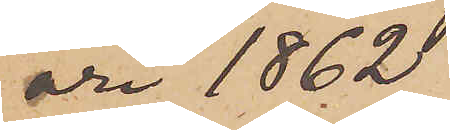ari 1862
